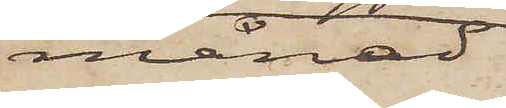månad
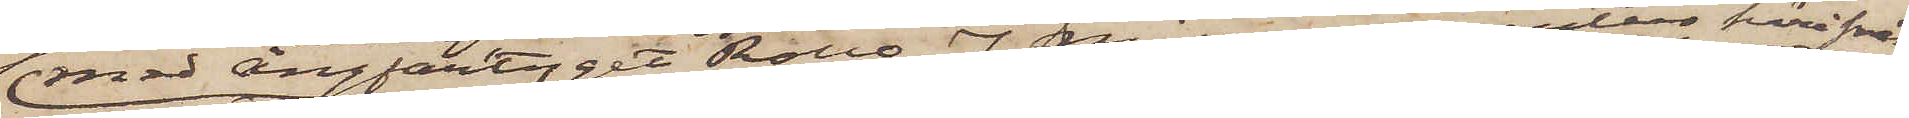med ångfartyget Rollo, J. Nilsons agentur härifrån
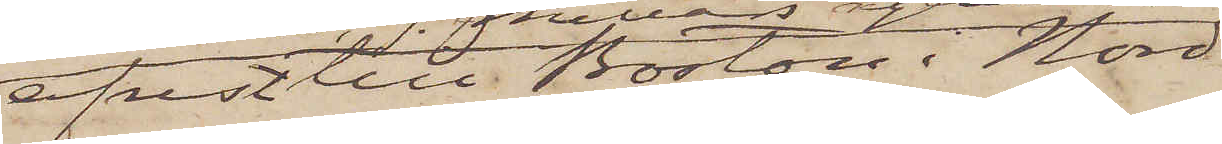afrest till Boston i Nord
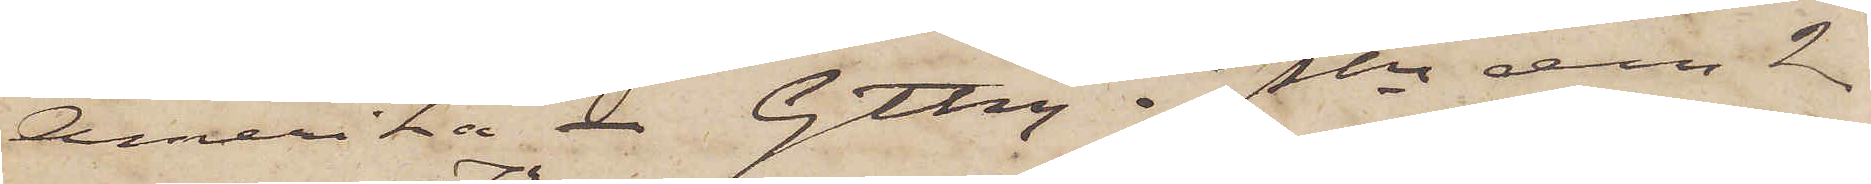Amerika. Gtbrg i Pkn den 2
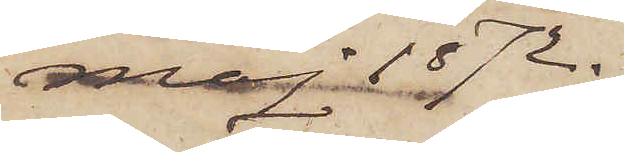Maj 1872.
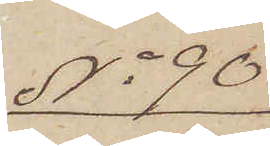No 90
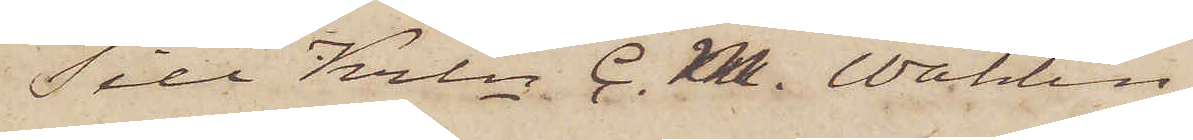Till Krln C. M. Wahlin
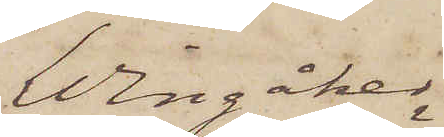Wingåker.
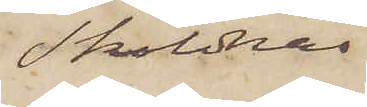Sköldnäs
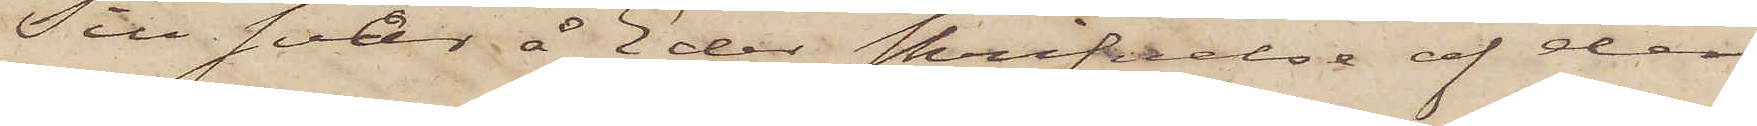Till svar å Eder skrifvelse af den
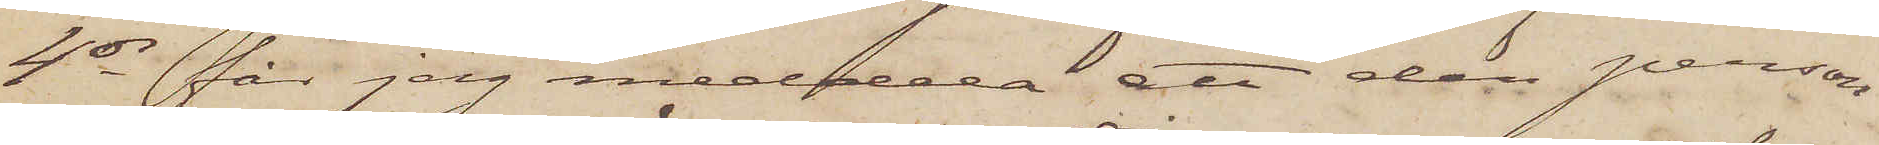4 ds får jag meddela att den person
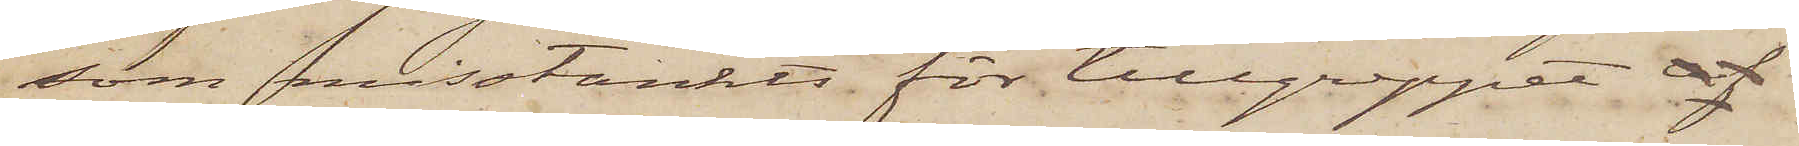som misstänkts för tillgreppet af
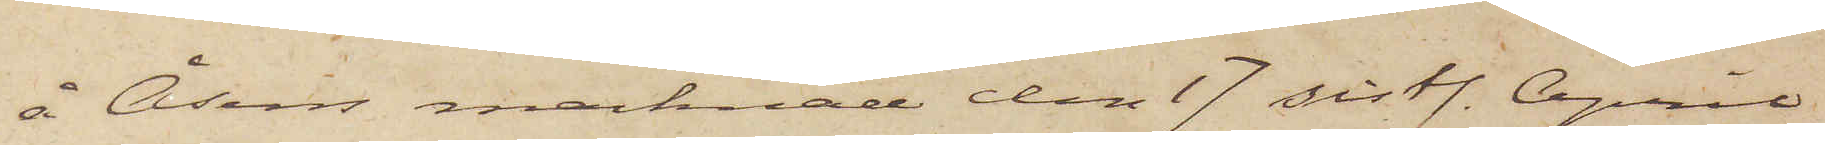å Åsens marknad den 17 sistl. April
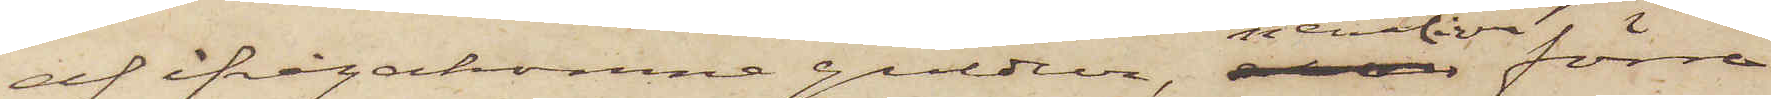af ifrågakomne guldur, nemligen förre
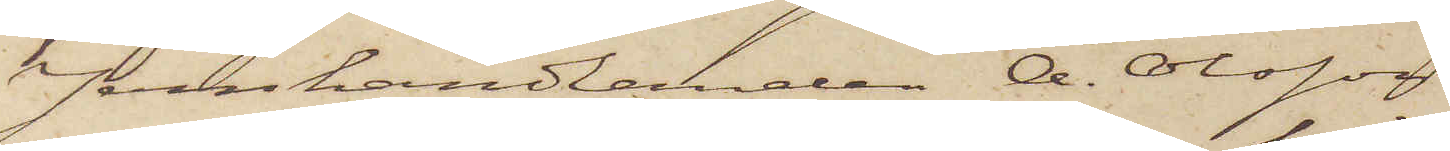Jernhandlanden A. Olsson
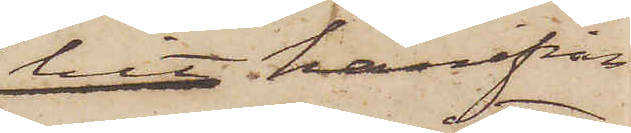hit härifrån
